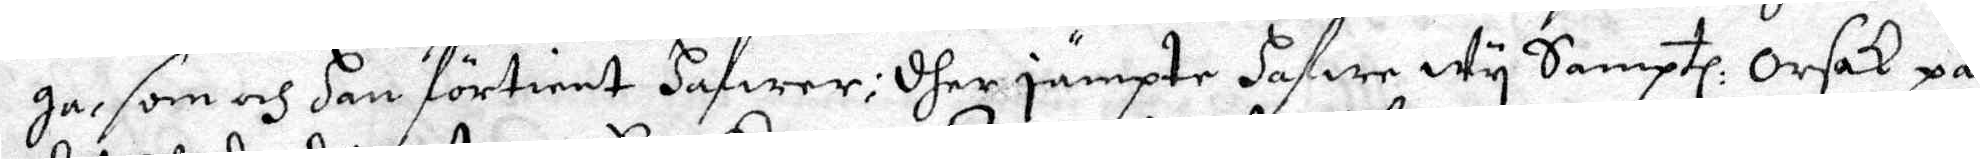ga, som och han förtient hafwer; dher jämpte hafwe Wy Samptl: Orsak på
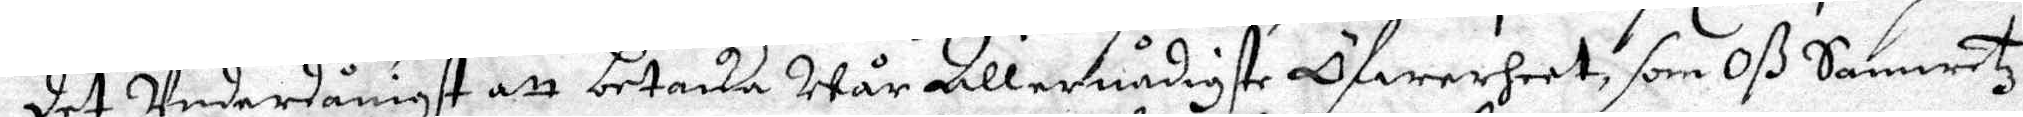det Underdånigst att betacka Wår Allernådigste Öfwerheet, som Oß Samwetz
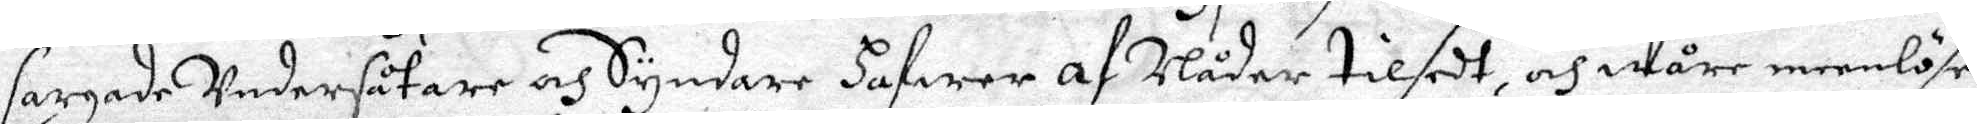sargade Undersåtare och Syndare hafwer af Nåder tilsedt och, Wåre meenlöse
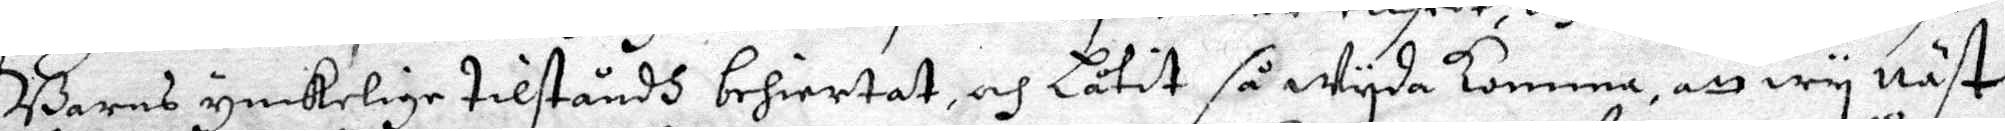Barns ynkelige tilståndh behiertat, och låtit så wyda komma, att wy näst
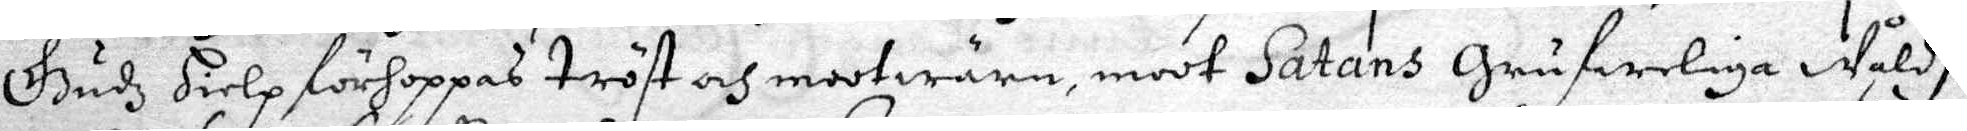Gudz hielp förhoppas tröst och mootwärna, modt Satans Grufweliga Wåldh
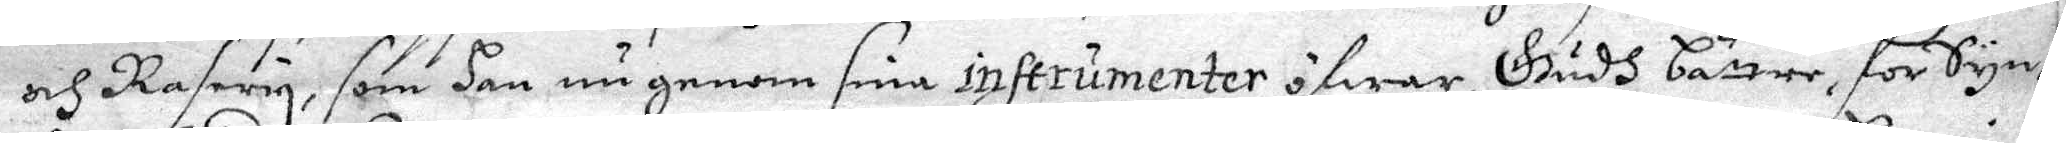och Rasery, som den nu genom sina intrumenter öfwer, Gudh bättre, för Synd¬
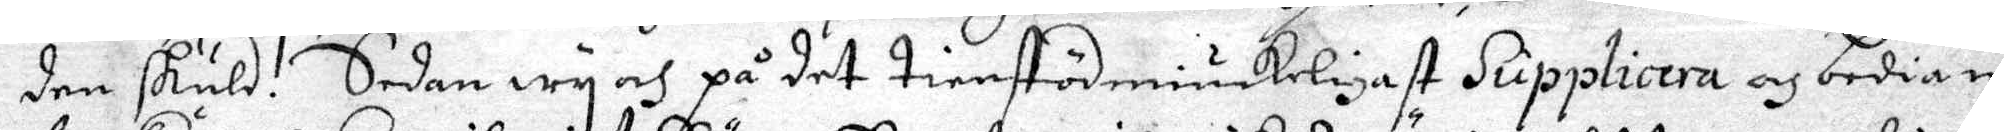den skuld. Sedan wy och på det tienstödmiukeligast Supplicera och bedia in¬
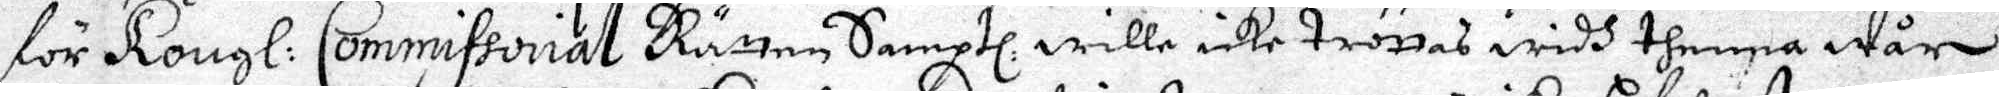för Kongl. Commissorial Rätten Samptl. wille icke trönas widh thenna wår
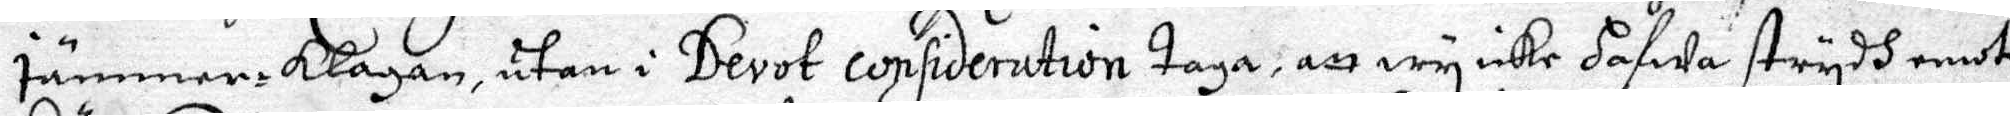jämmare Klagan, utan i Derot consideration taga, att wy icke hafwa strydh emot
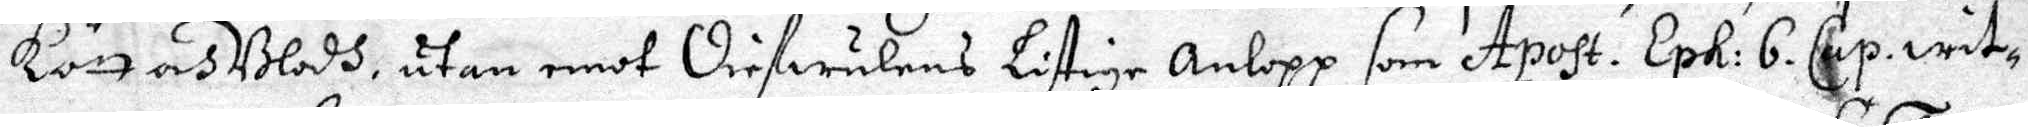Kön och Blodh, utan emot Diefwulens Listige Anlopp som Apost. Eph: 6. Cap: wit¬
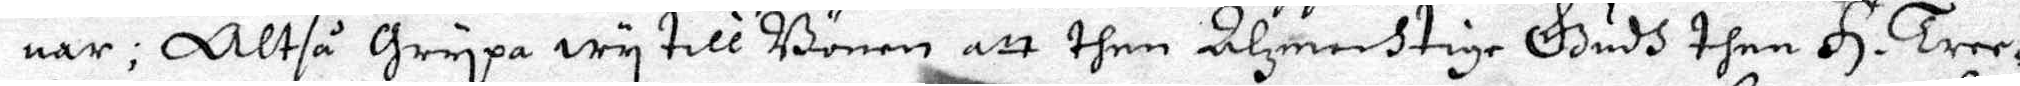nar; Altså Grypa wy till Bönen att then Alzmechtige Gudh then H. Tree¬
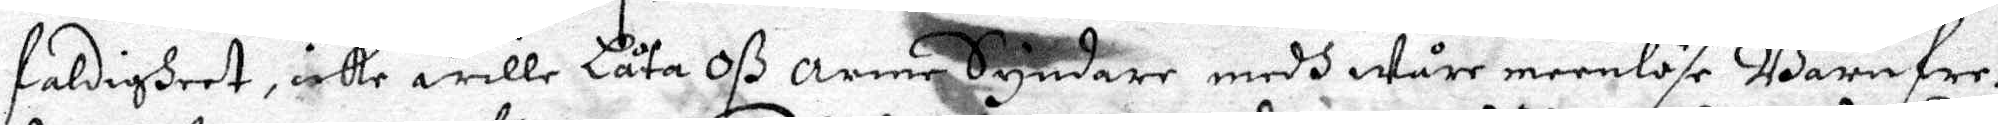faldigheet, icke wille Låta Oß arma Syndare medh Wåre meenlöse Barnfor¬
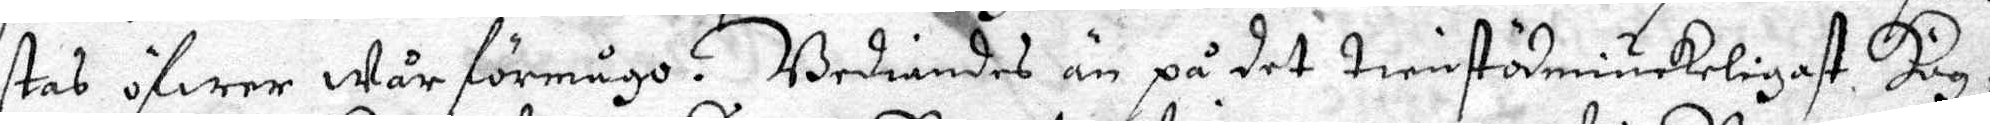stas öfwer Wår förmågo. Bediandes än på det tienstödmiukeligast Hög¬
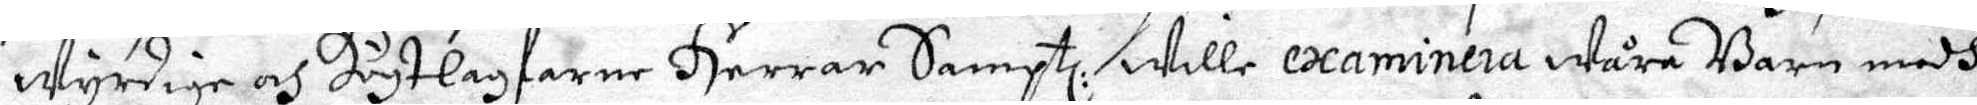wyrdige och Högtlagfarne Herrar Samptl. wille examinera Wåra Barn medh
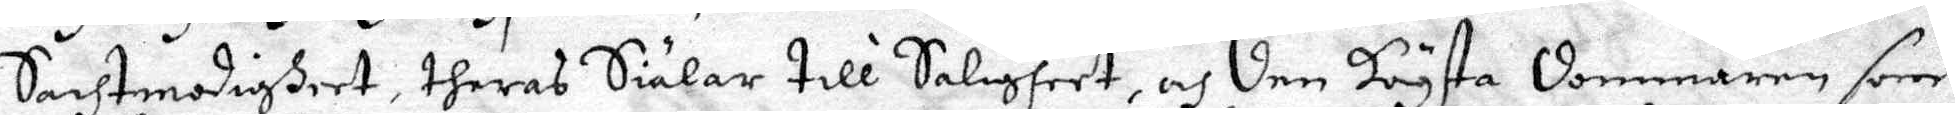Saghtmodigheet, theras Siälar till Saligheet, och den högsta dommaren som
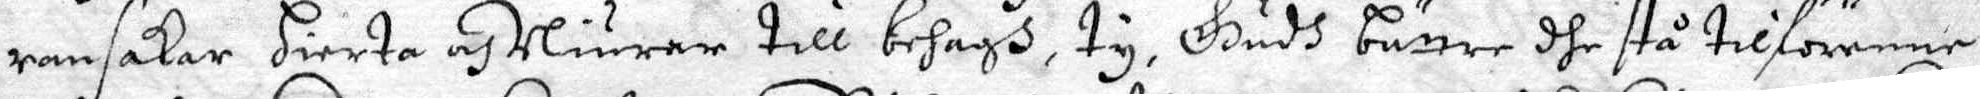ransakar Hierta och Niurar till behagh, ty, Gudh bättre dhe stå tilförenne
